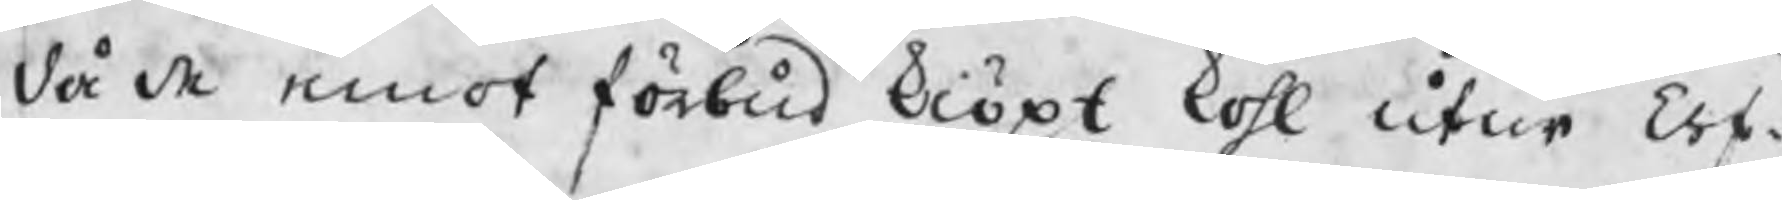då de emot förbud kiöpt kohl utur Erf¬
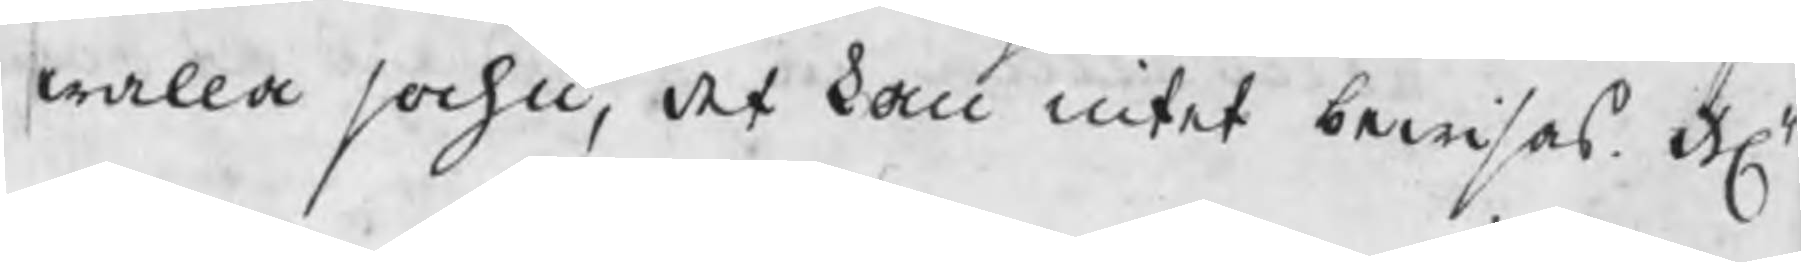walla sochn, det kan intet bewisas H
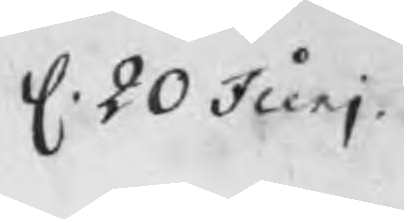d. 20 Junj
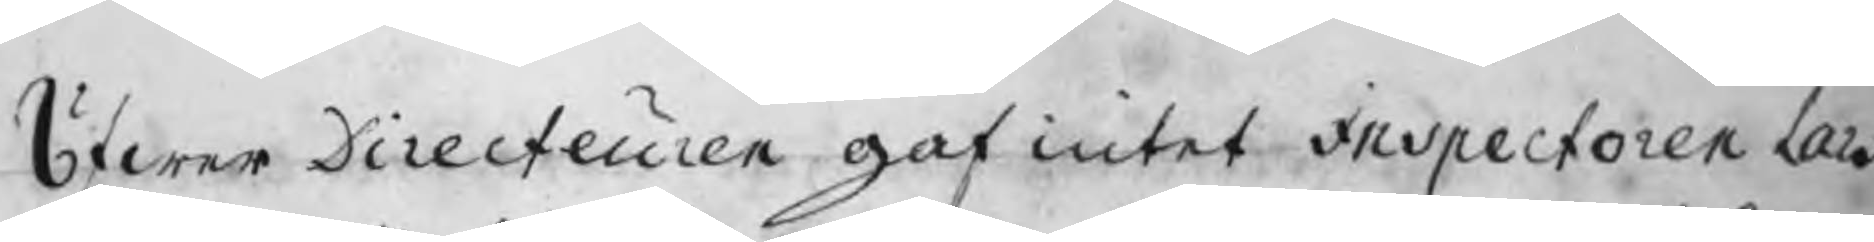ÖfwerDirecteuren gaf intet Inspectoren Lars
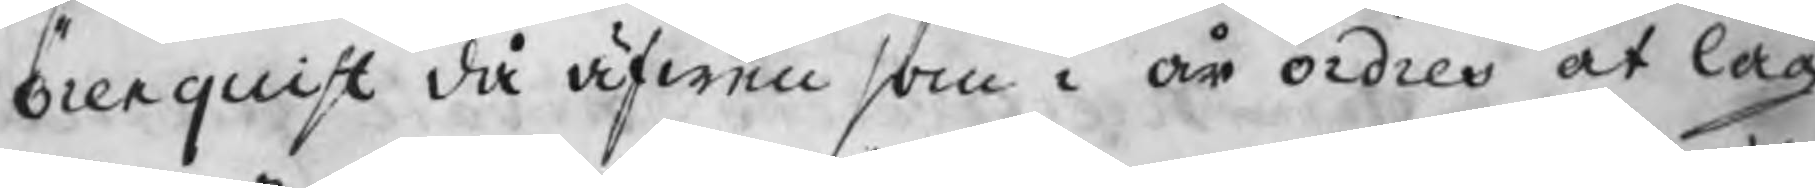Örenquist då äfwen som i år ordres at lag
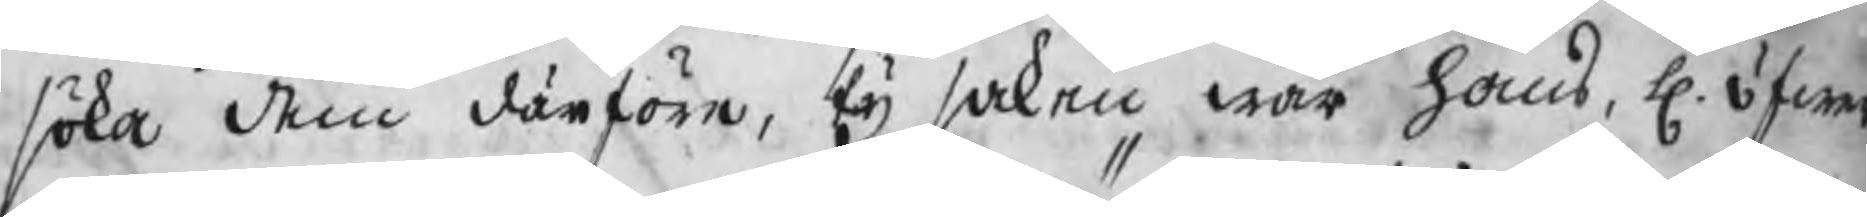söka dem därföre, ty saken war hans, H. öfwer
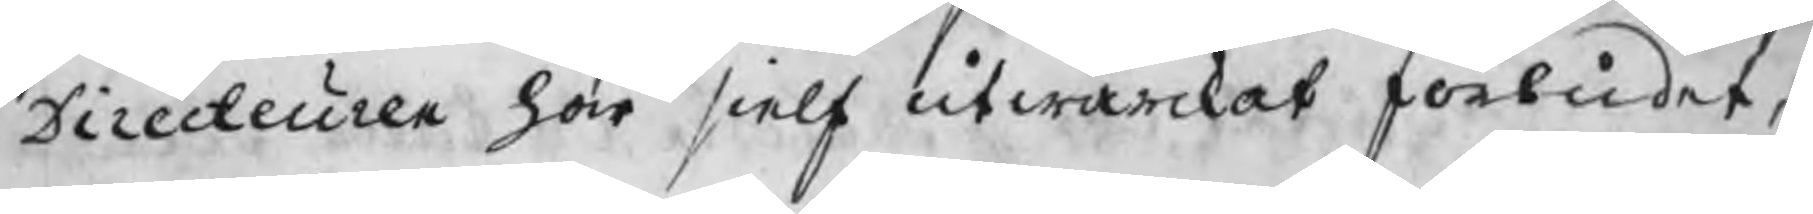Directeuren har sielf utwärckat förbudet,
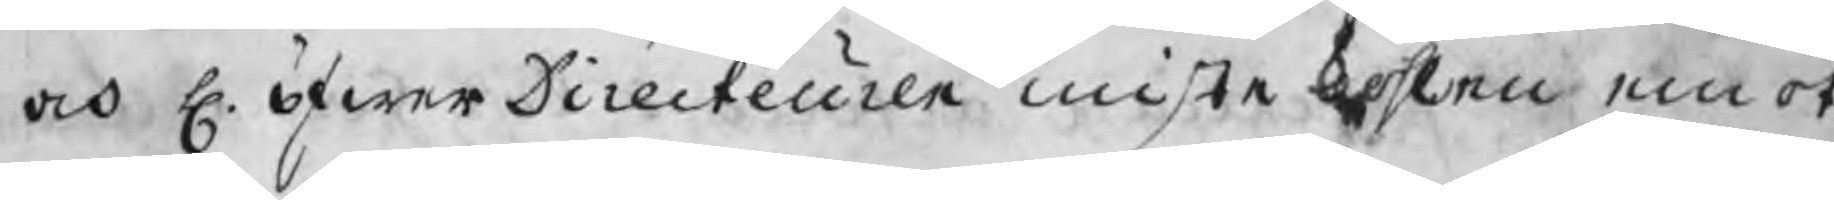och H. öfwerDirecteuren miste kohlen emot
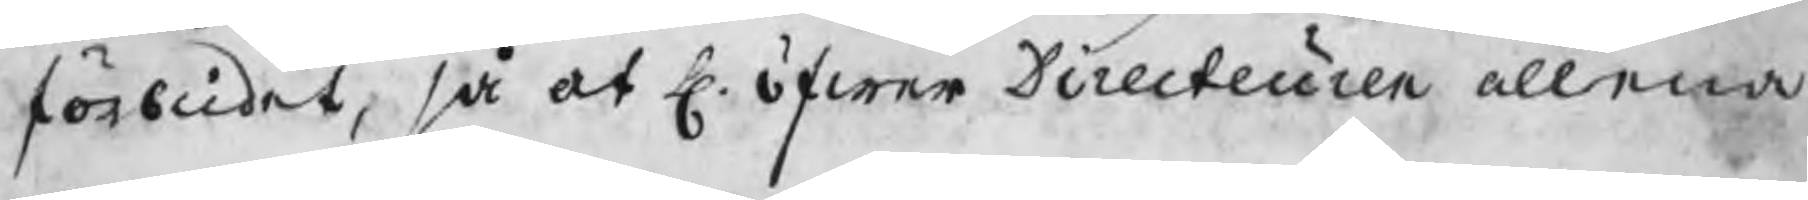förbudet, så at H. öfwer Directeuren allena
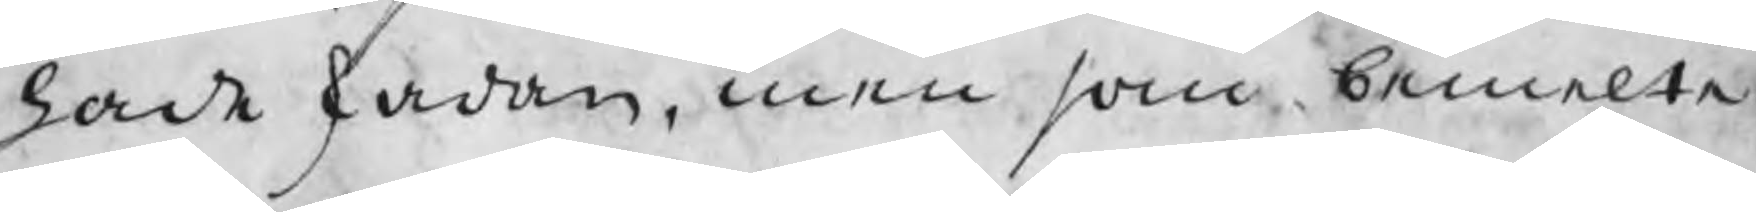hade skadan, men som bemelte
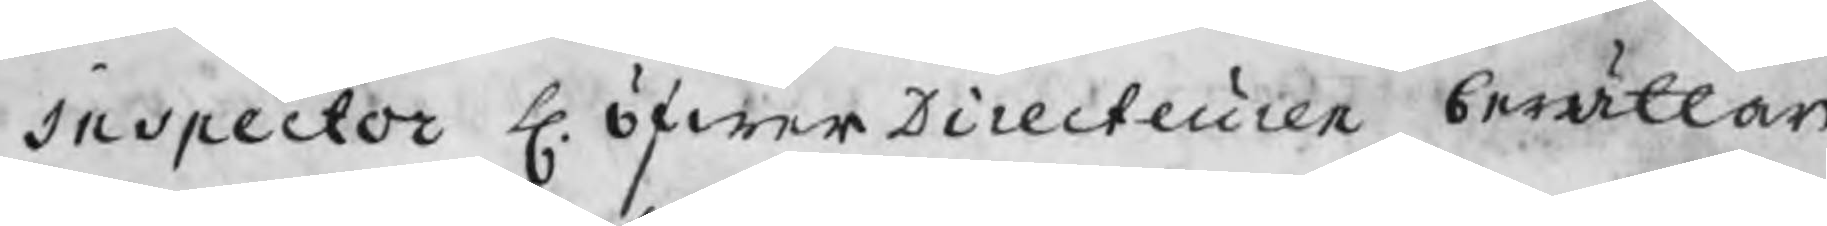Inspector H. öfwerDirecteuren berättar
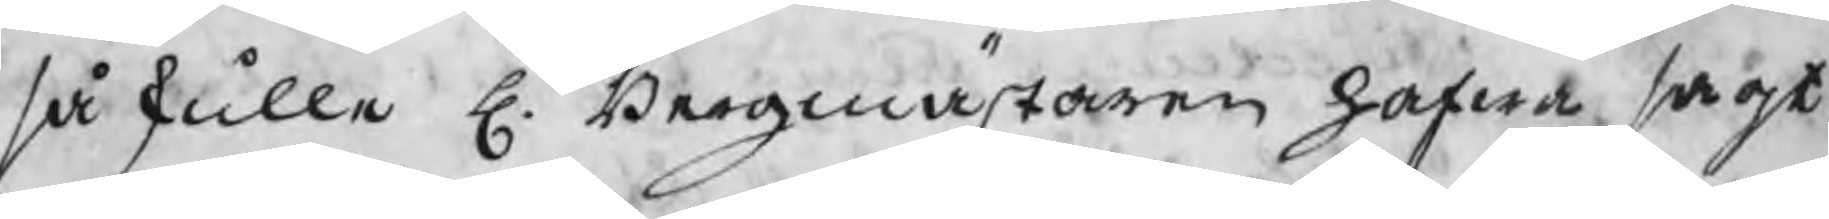så skulle H. Bergmästaren hafwa sagt
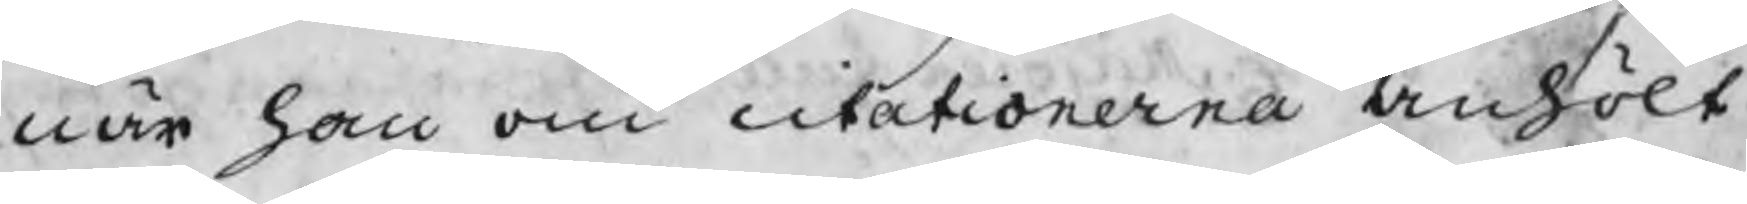när han om citationerna anhölt
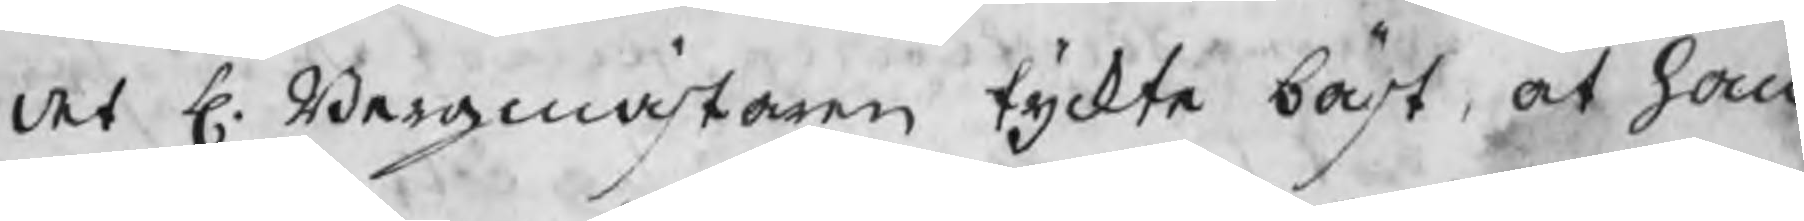det H. Bergmästaren tyckte bäst, at han
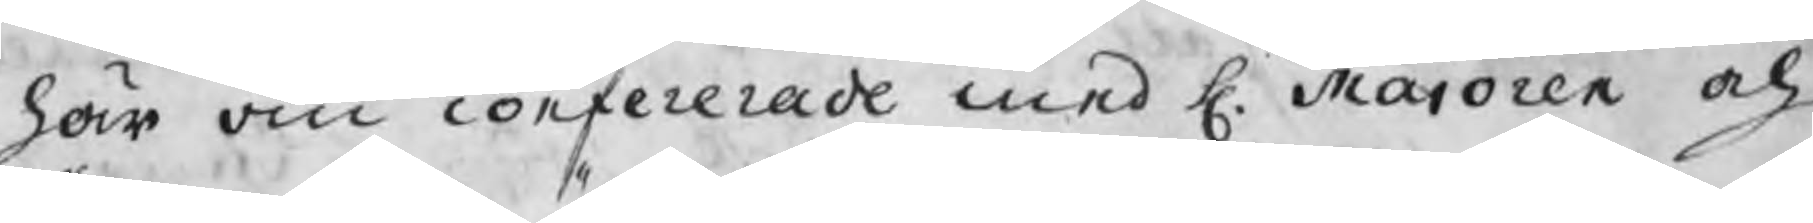här om confererade med H. Maioren och
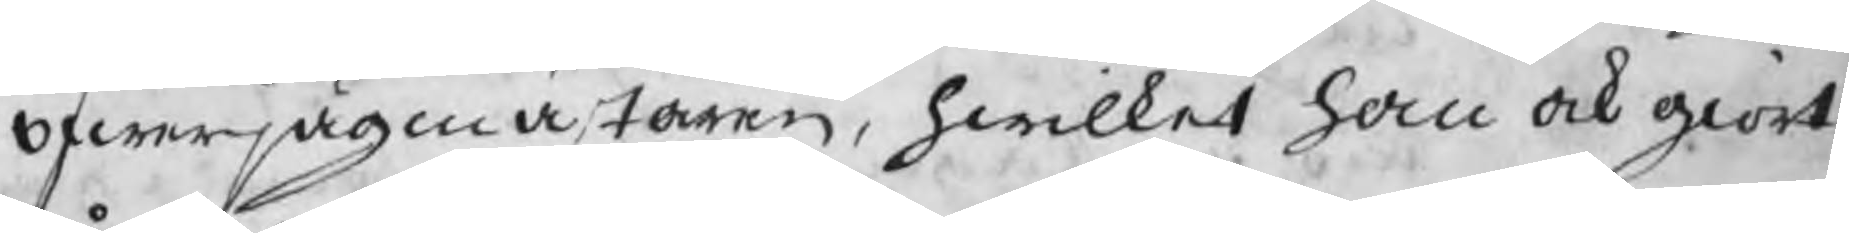öfwerjägmästaren, hwilket han ock giort,
